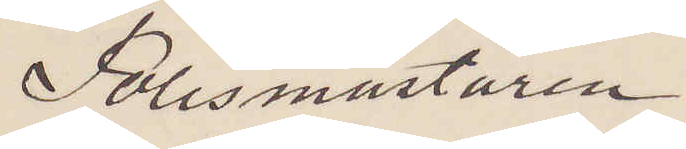Polismästaren.
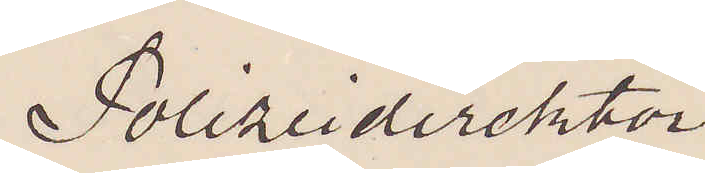Polizeidirecktor
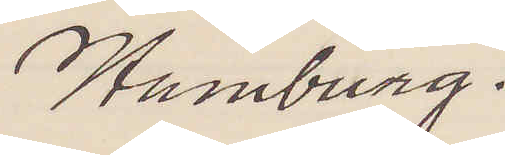Hamburg.
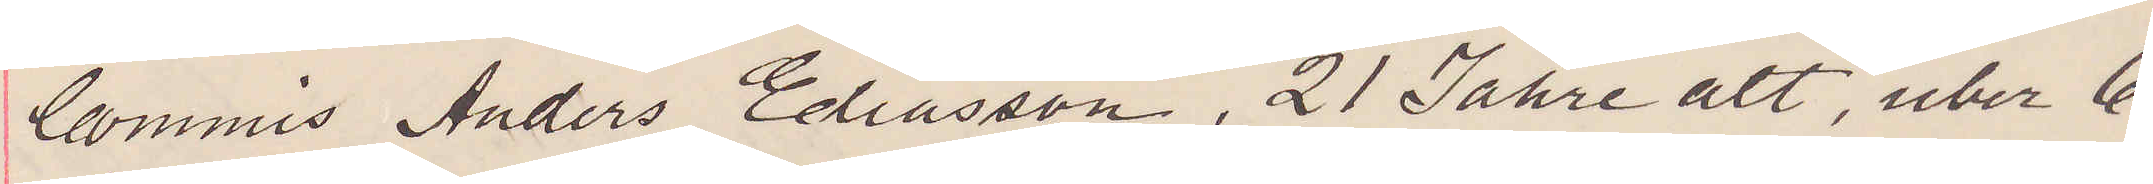Commis Anders Eliasson, 21 Jahre alt, uber 6
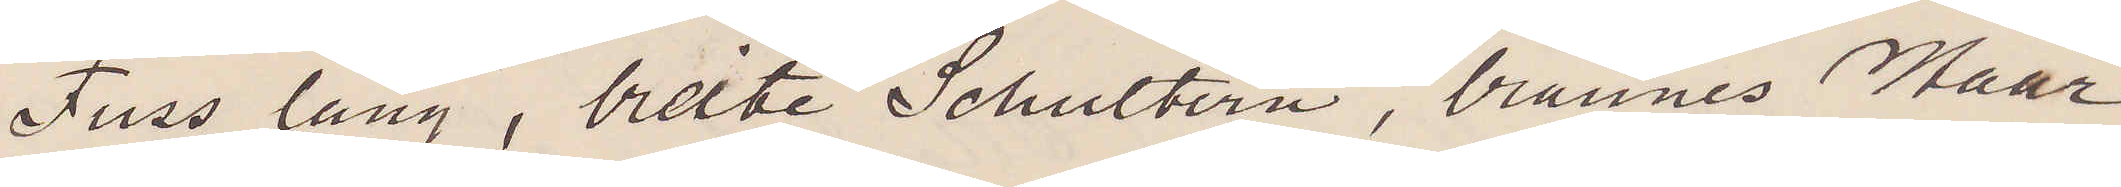Fuss lang, breite Schultern, braunes Haar,
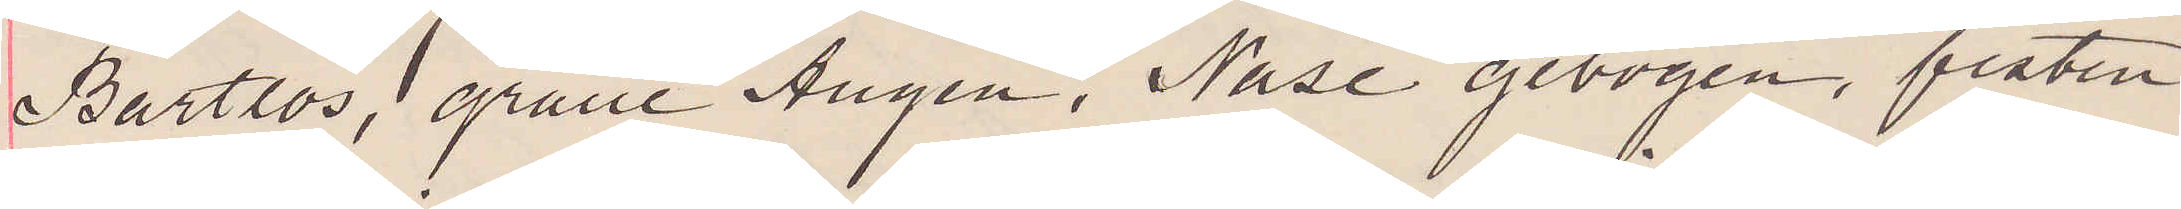Bartlos, graue Augen, Nase gebogen, fasten
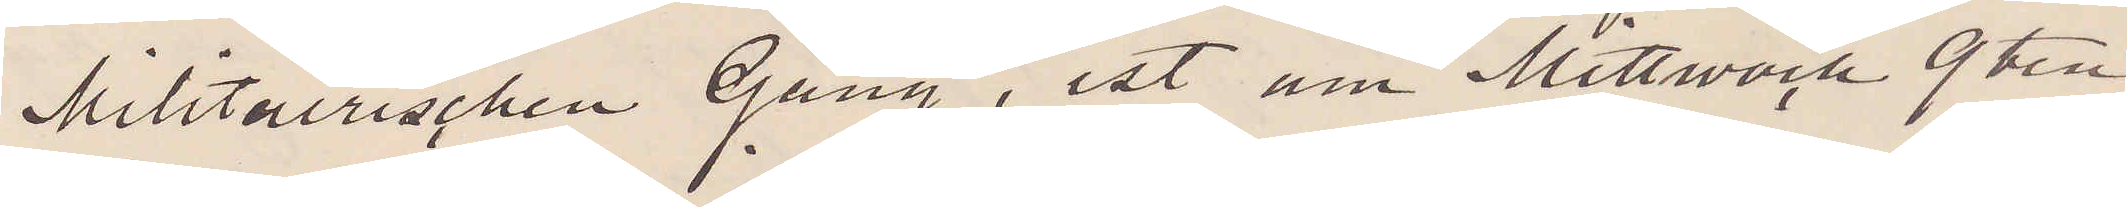Militairischen Gang, ist um Mittwoch 9 ten
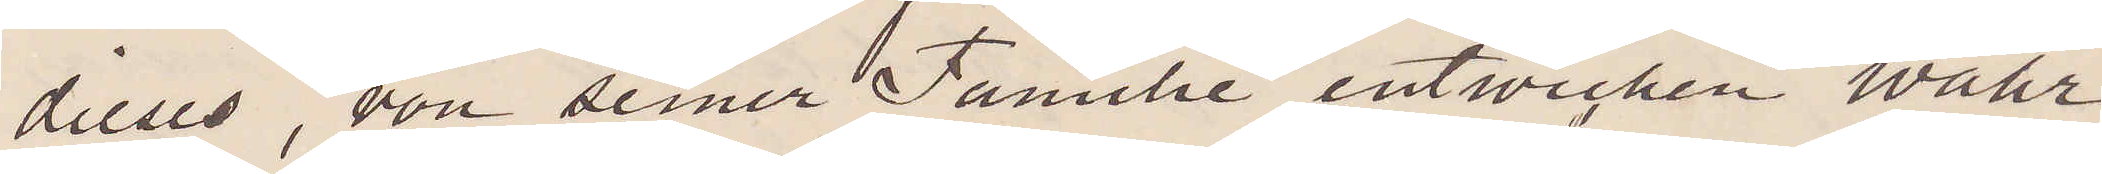dieses, von seiner Familie entwicken wahr¬
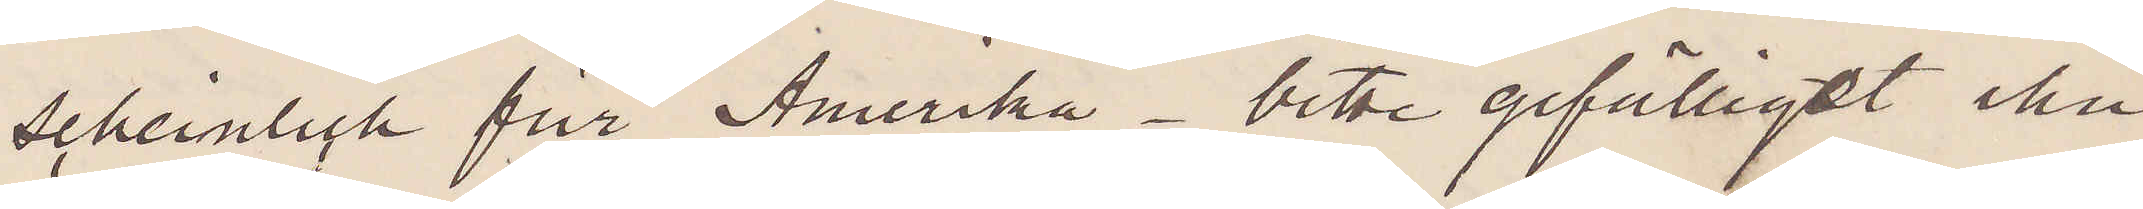scheinlich für Amerika. bitte gefälligst ihn
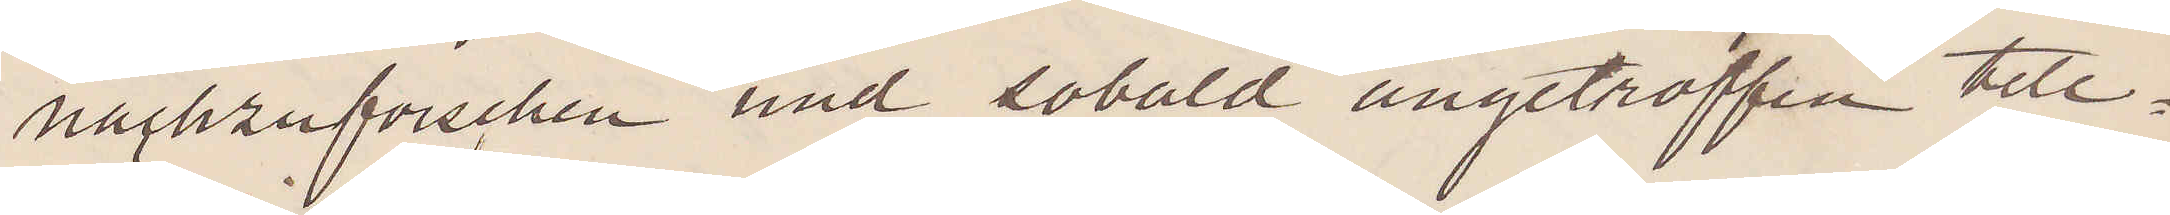nachzuforschen und sobald angetroffen tele¬
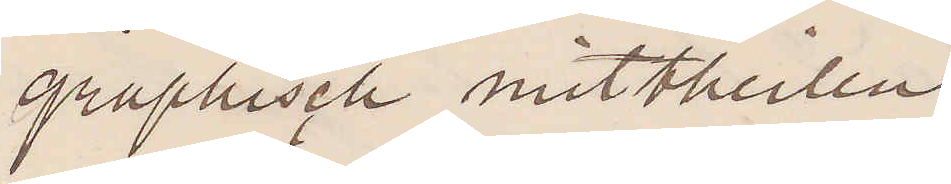graphisch mittheilen
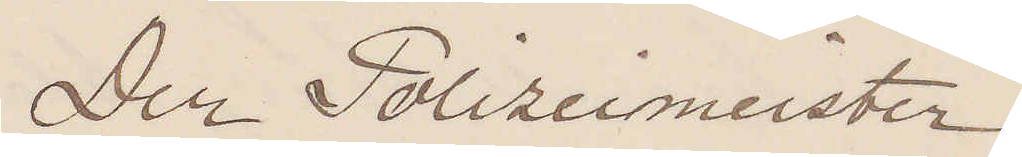Der Polizeimeister.
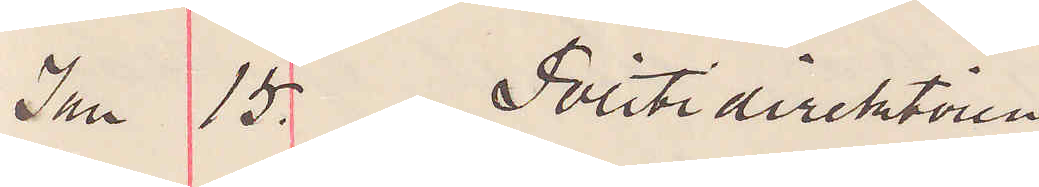Jan 15. Politidirektoren
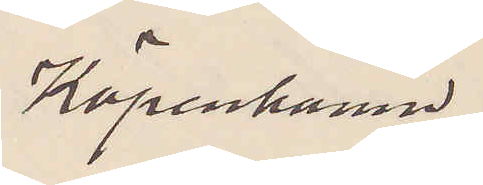Köpenhamn.
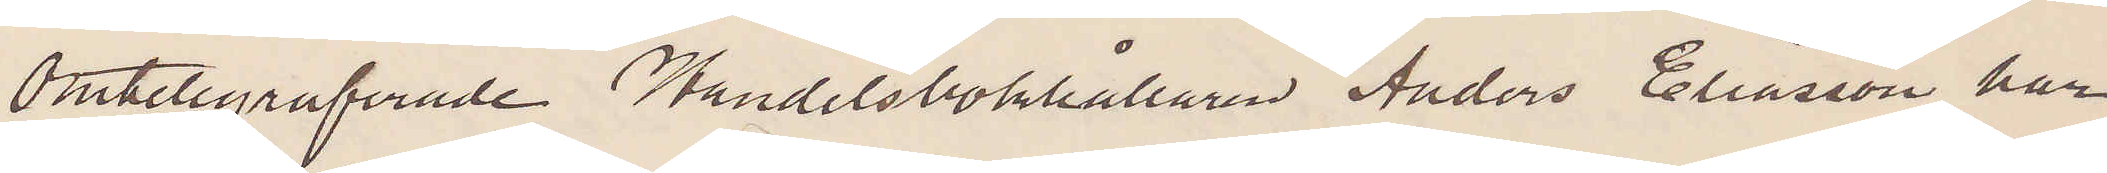Omtelegraferade Handelsbokhållaren Anders Eliasson har
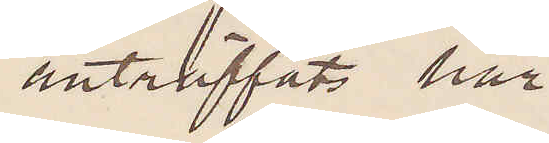anträffats här.
